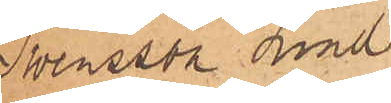Swensson Lind
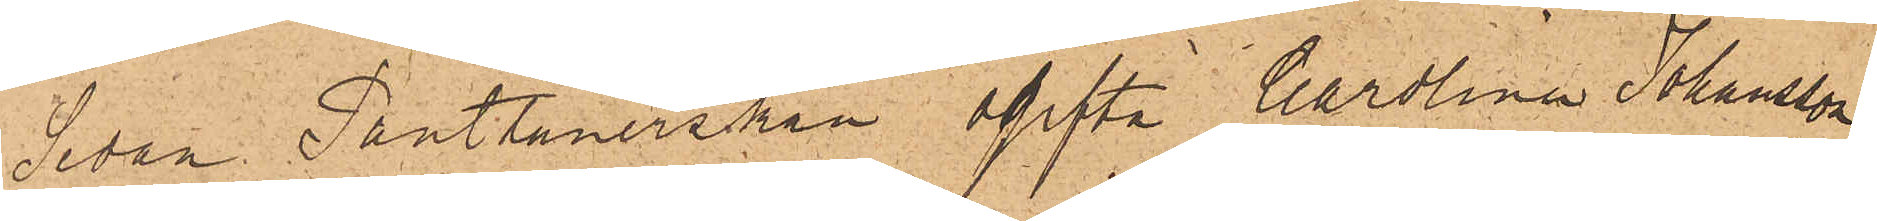Sedan Pantlånerskan ogifta Carolina Johansson
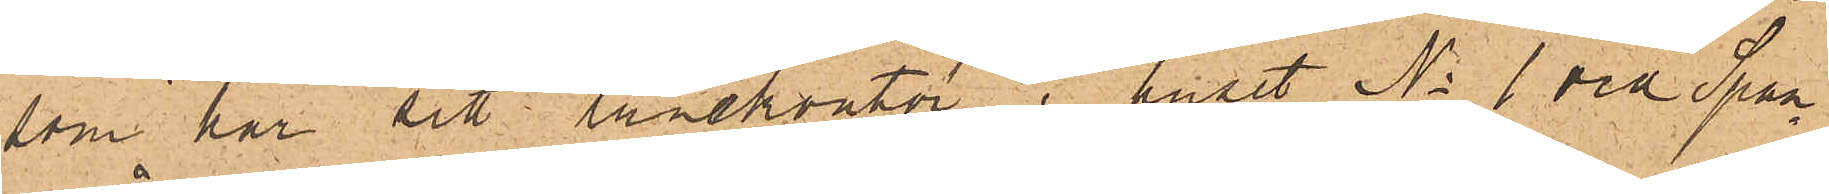som har sitt lånekontor i huset No 1 vid Span¬
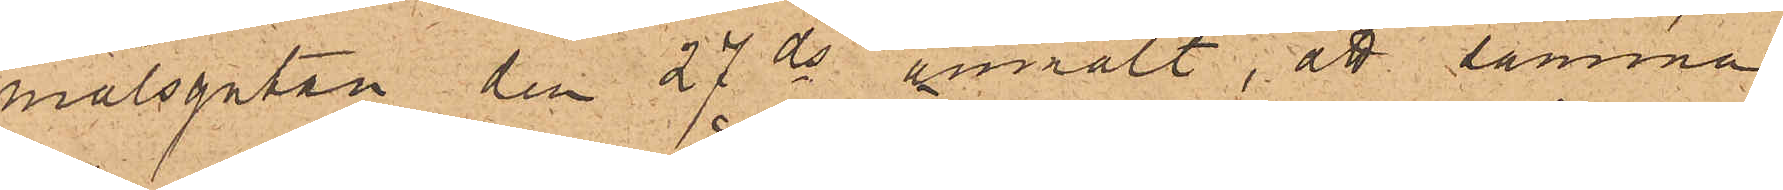målsgatan den 27 ds anmält, att samma
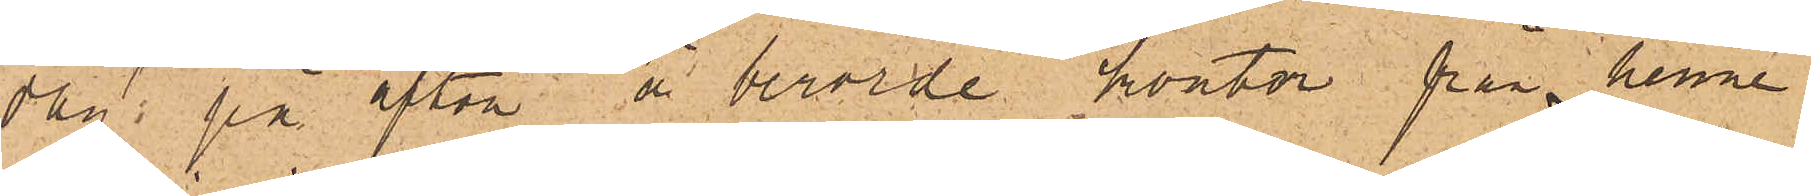dag på afton å berörde kontor från henne
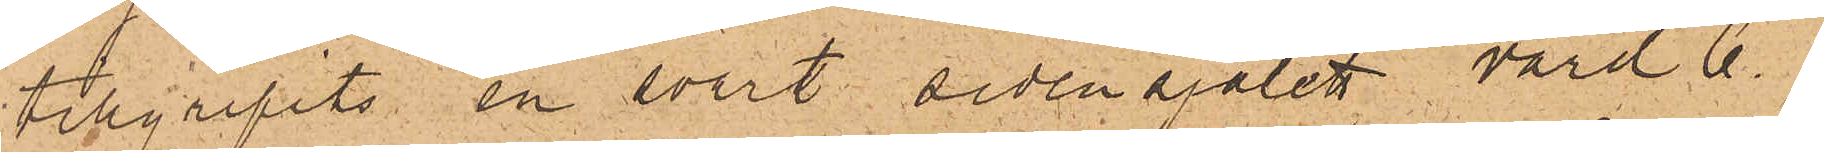tillgripits en svart sidensjalett, värd 6
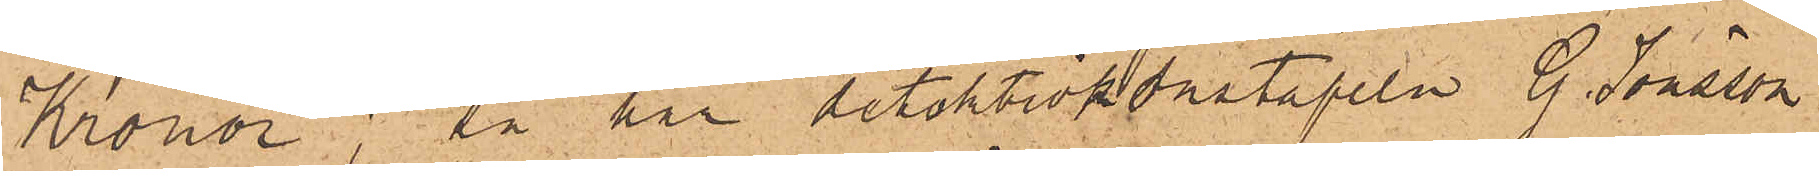Kronor; så har detektivkonstapeln G. Jönsson
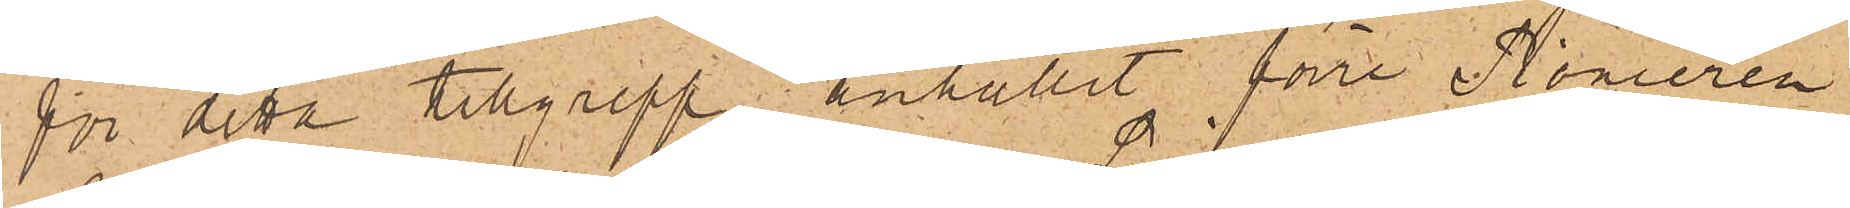för detta tillgrepp anhållit förre Pionieren
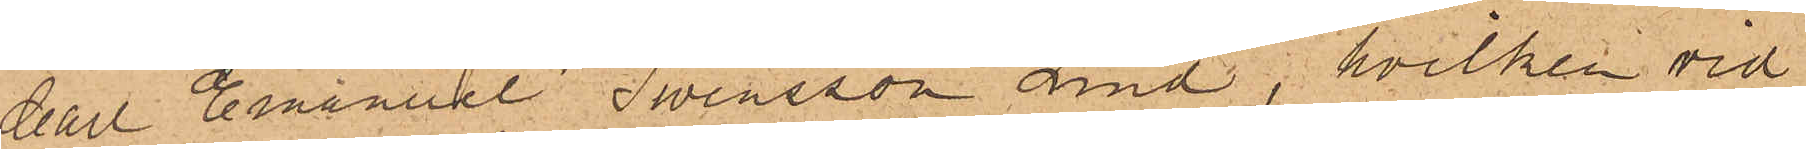Carl Emanuel Swensson Lind; hvilken vid
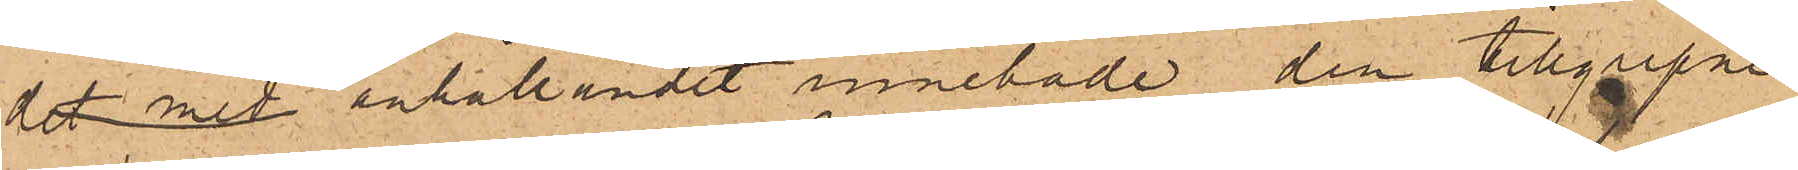det med anhållandet innehade den tillgripne
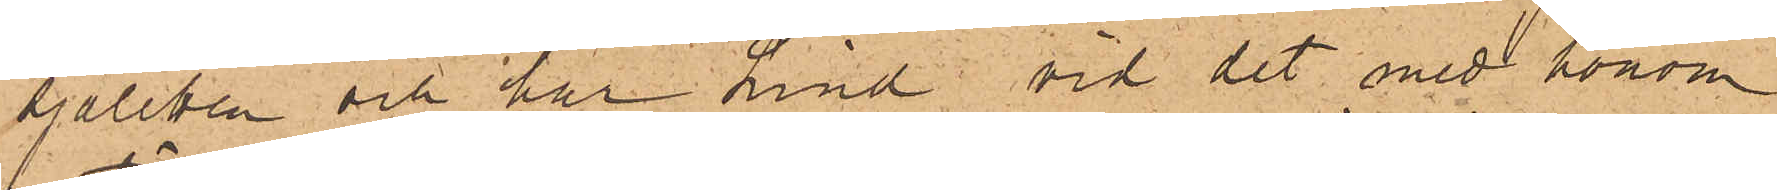sjaletten och har Lind vid det med honom
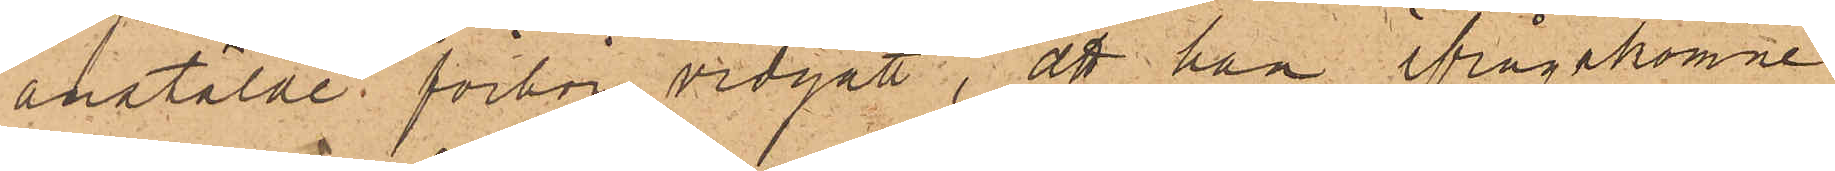anstälde förhör vidgått, att han ifrågakomne
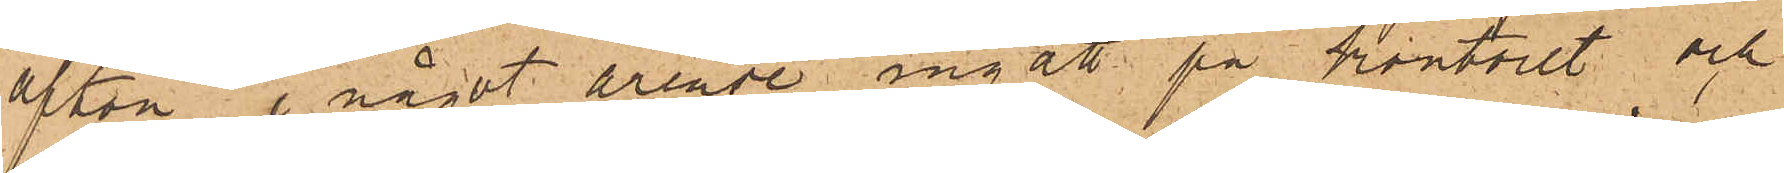afton i något ärende ingått på kontoret och
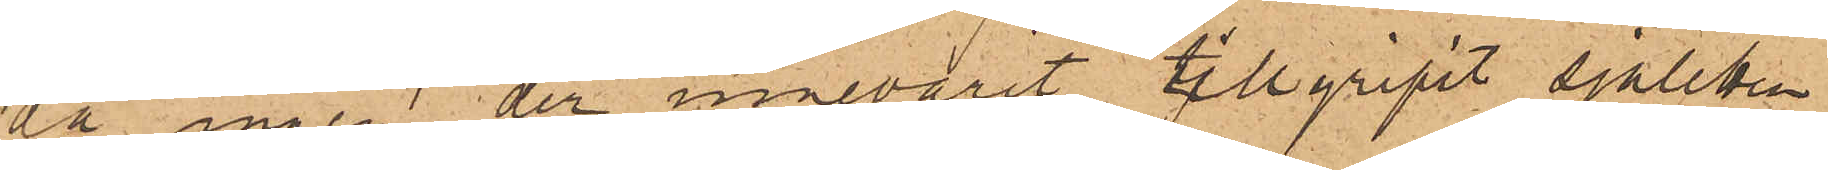då ingen der innevarit tillgripit sjaletten
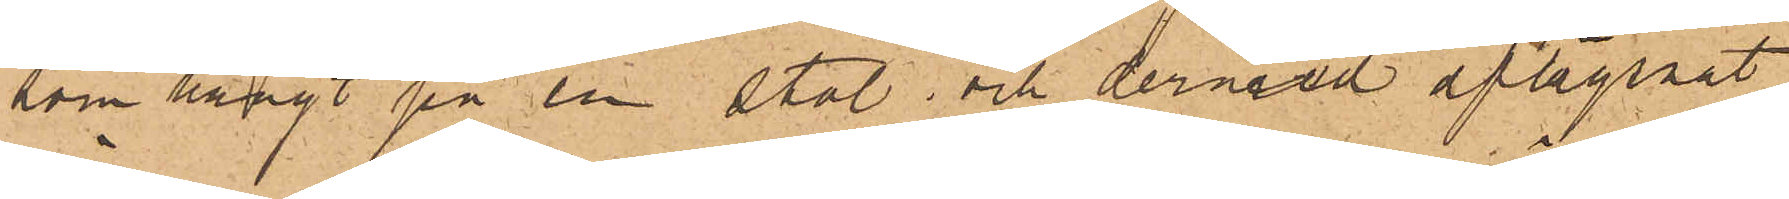som hängt på en stol; och dervid aflägsnat
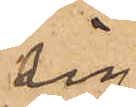sig.
